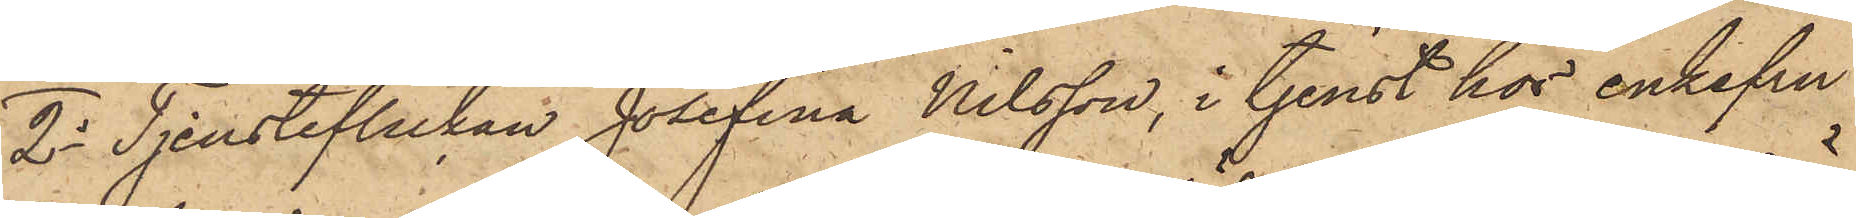2o Tjensteflickan Josefina Nilsson, i tjenst hos enkefru
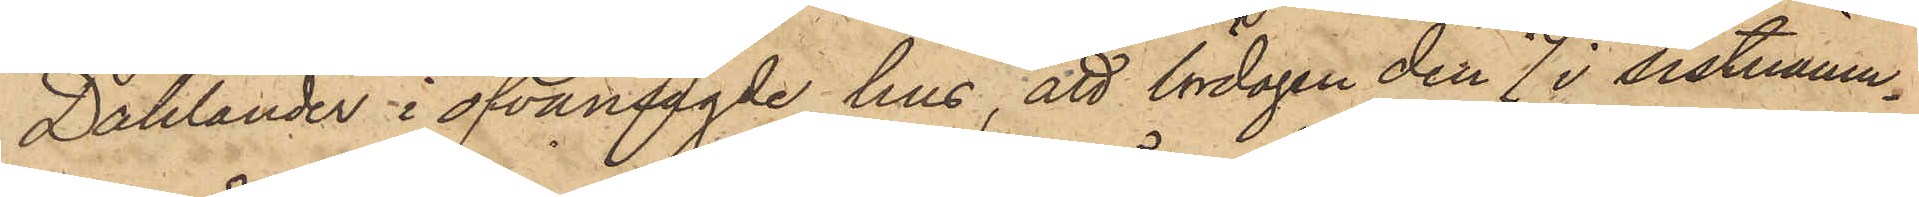Dahlander i ofvansagde hus, att lördagen den 7 i sistnämn¬
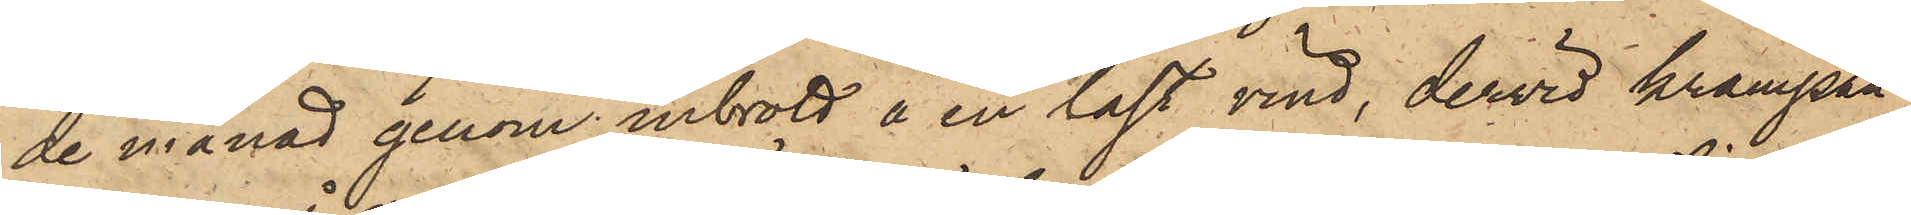de månad genom inbrott å en låst vind, dervid krampan
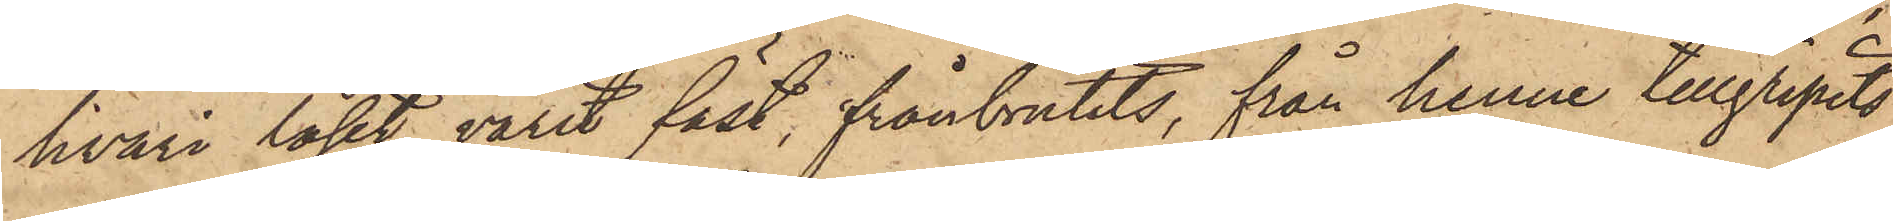hvari låset varit fäst, frånbrutits, från henne tillgripits
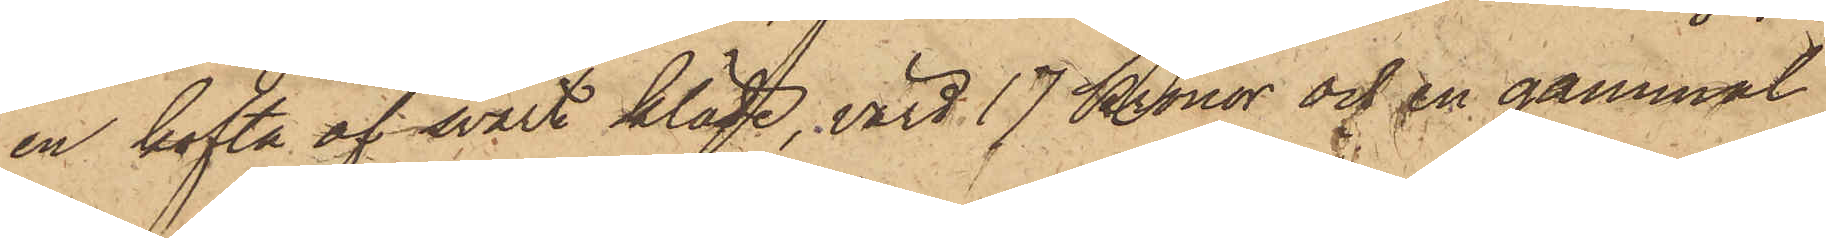en kofta af svart kläde, värd 17 Kronor och en gammal
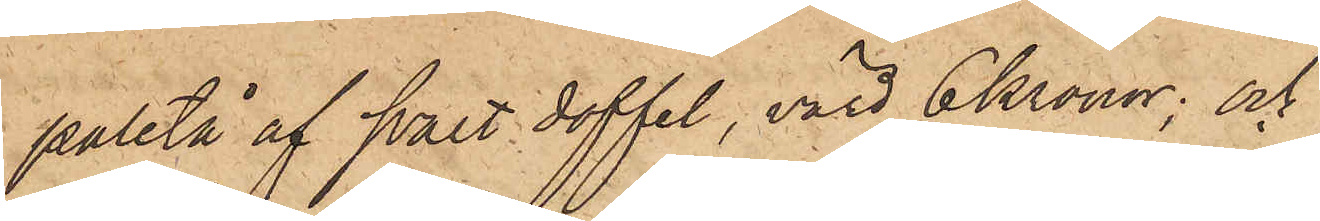paletå af svart doffel, värd 6 Kronor; och
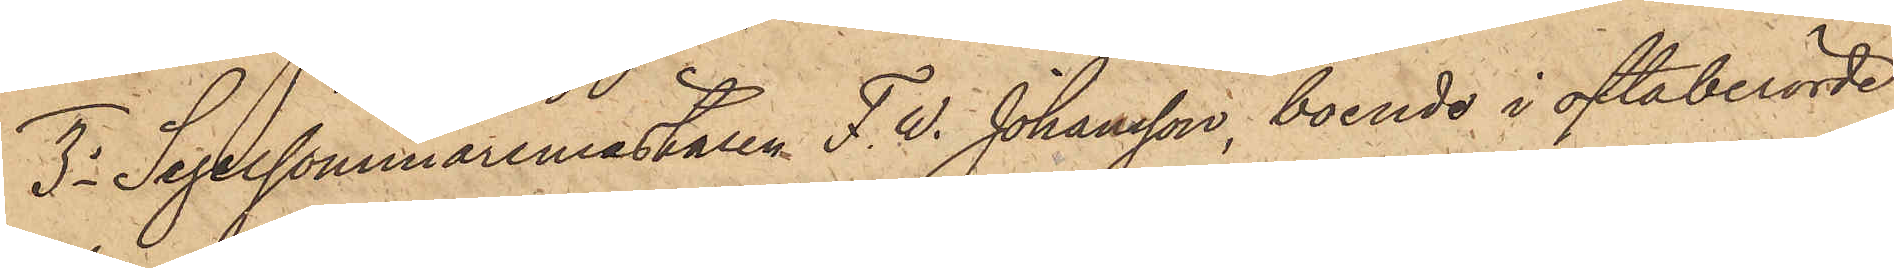3o Segelsömmaremästaren F. W. Johansson, boende i oftaberörde
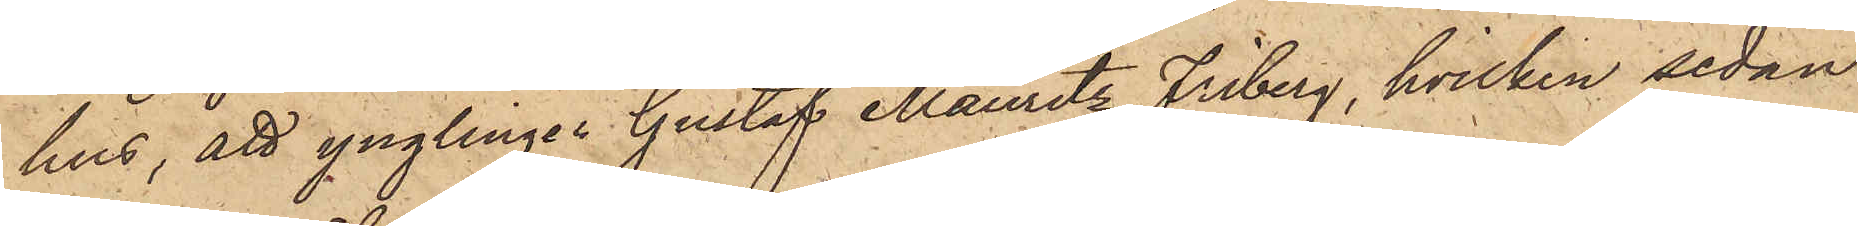hus, att ynglingen Gustaf Mauritz Friberg, hvilken sedan
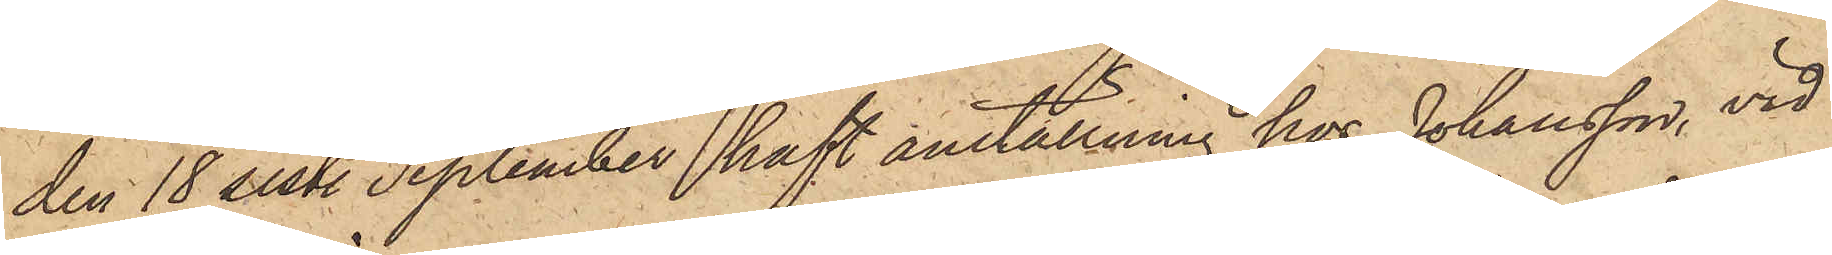den 18 sist. September haft anställning hos Johansson, vid
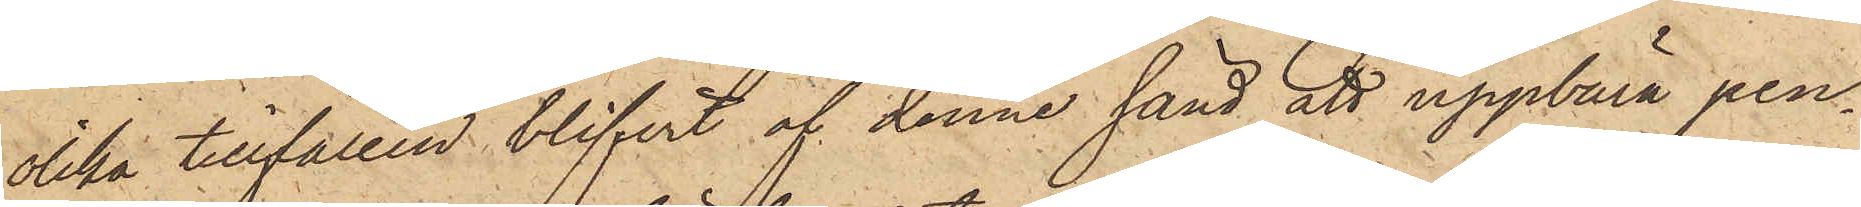olika tillfällen blifvit af denne sänd att uppbära pen¬
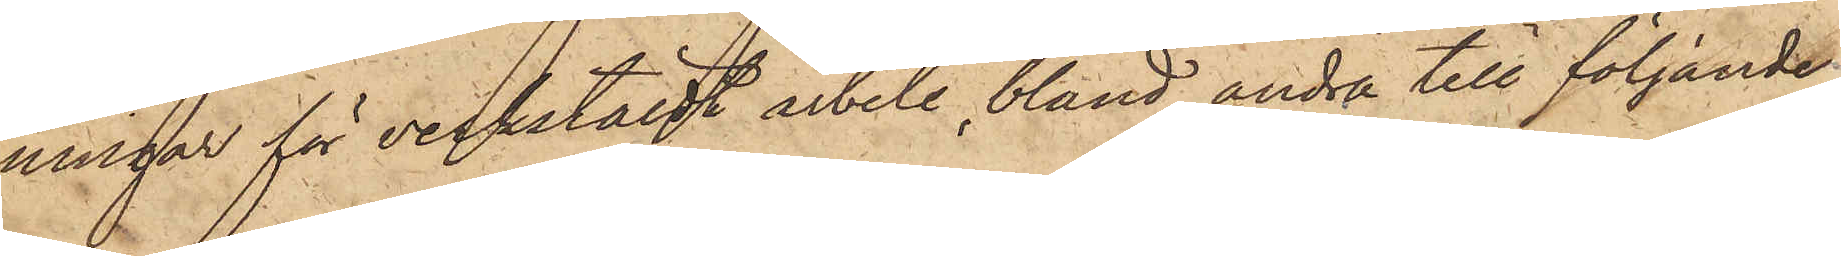ningar för verkstäldt arbete, bland andra till följande
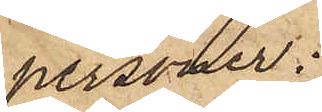personer:
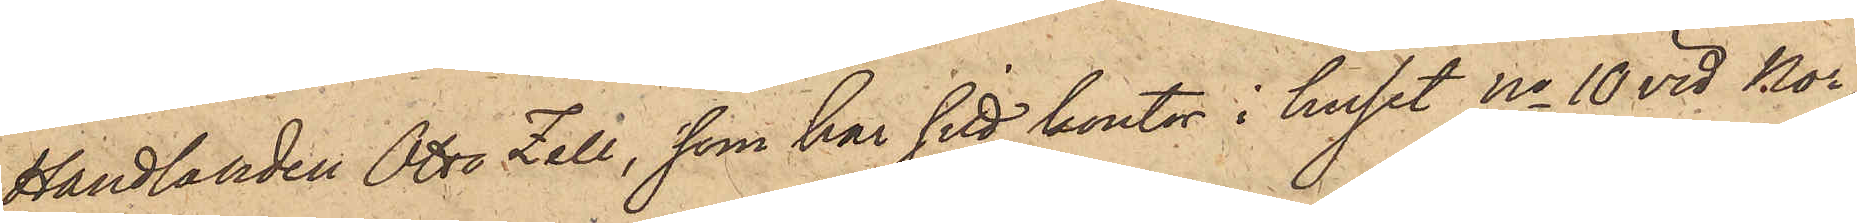Handlanden Otto Zell, som har sitt kontor i huset No 10 vid Nor¬
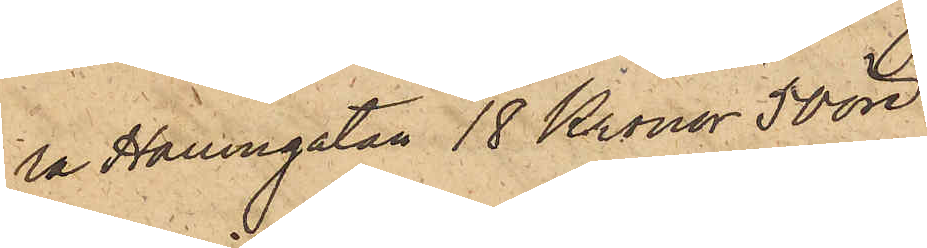ra Hamngatan 18 Kronor 50 öre
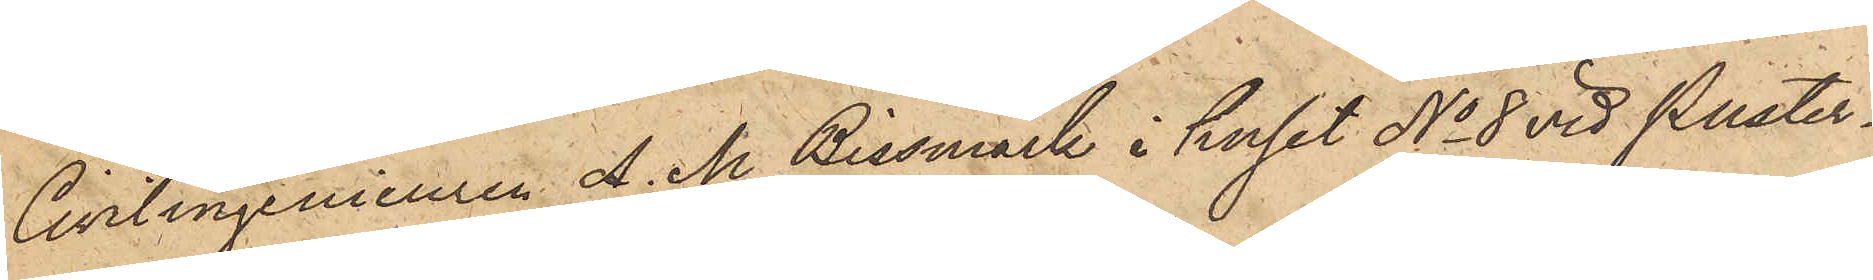Civilingenieuren A. M. Bissmark i huset No 8 vid Puster¬
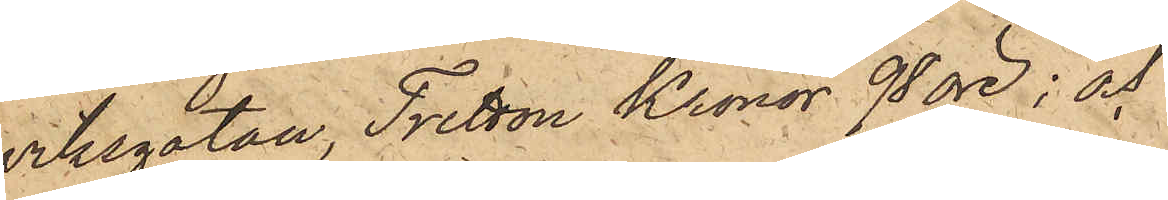viksgatan, Tretton Kronor 95 öre; och
